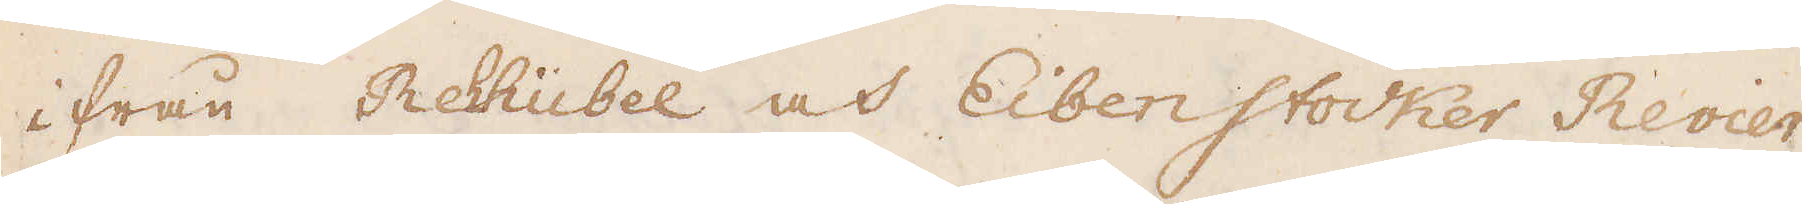ifrån Rehhübel och Eibenstocker Revier
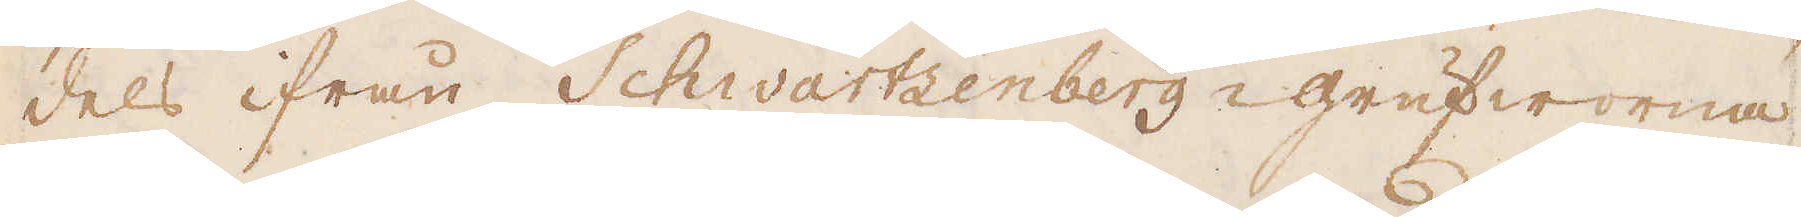dels ifrån Schwartzenberg-grufworna.
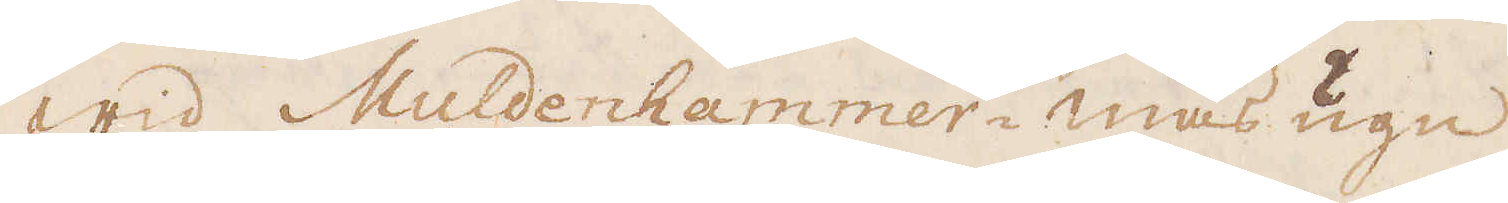Wid Muldenhammer-masugn
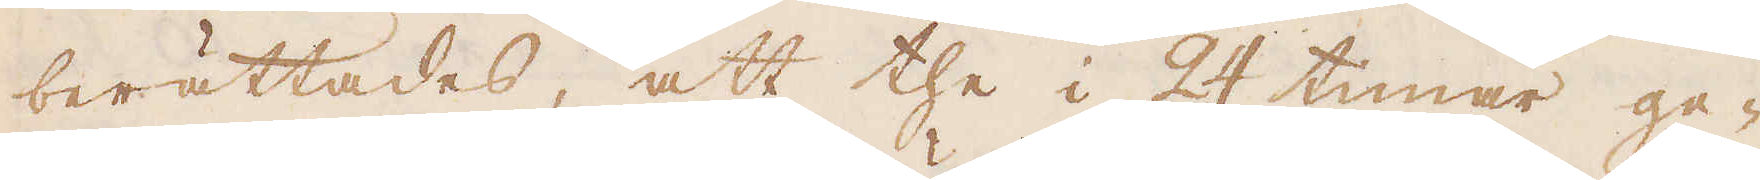berättades, att the i 24 timar ge-
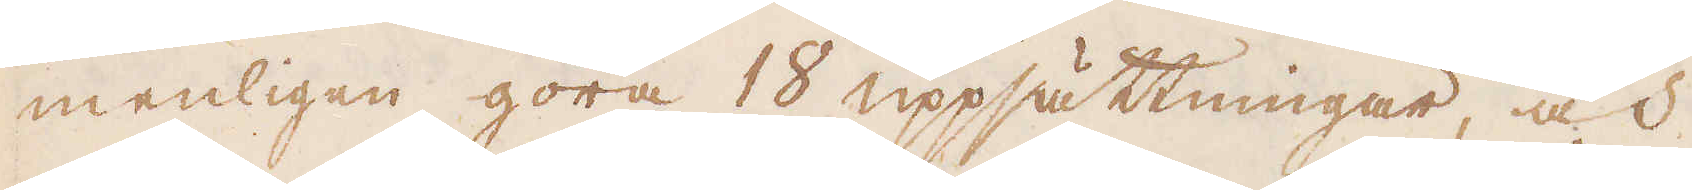menligen göra 18 uppsättningar, och
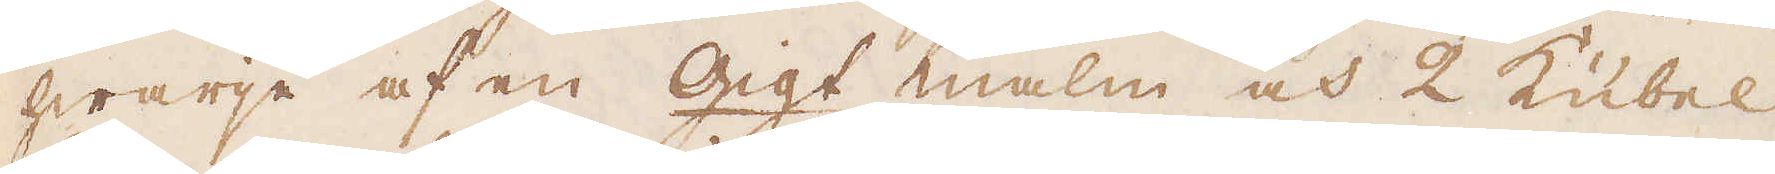hwarje af en Gigt malm och 2 Kübel
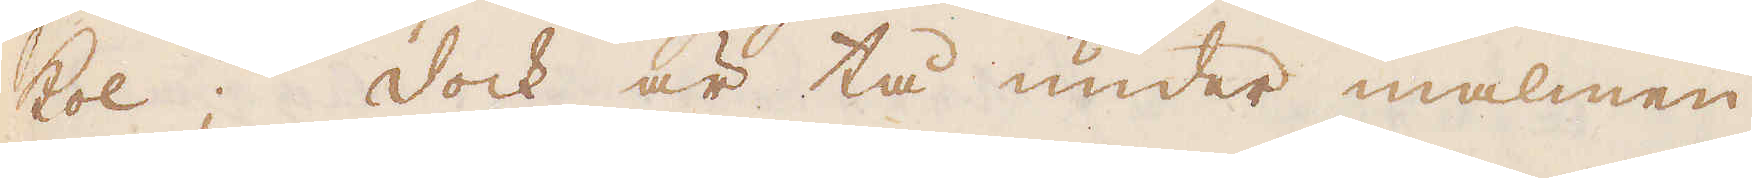kol; dock är tå under malmen
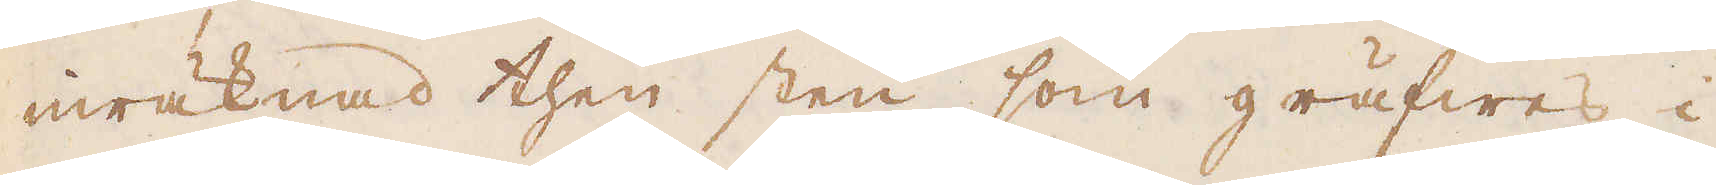inräknad then sten, som gräfwes i
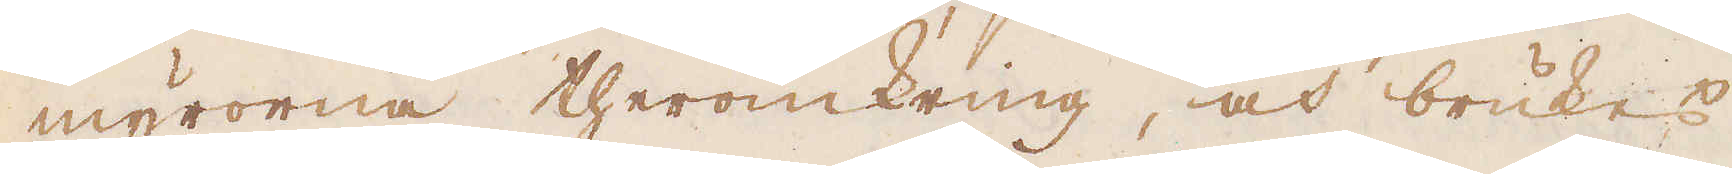myrorna theromkring, och brukes
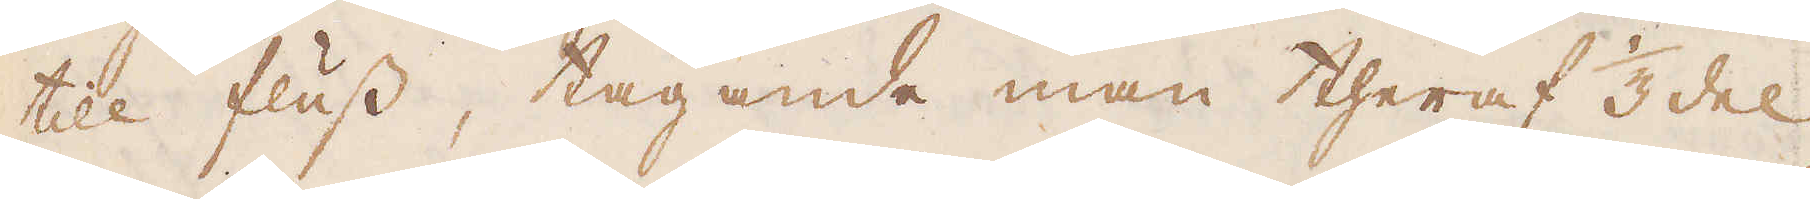till fluss, tagande man theraf 1/3 del
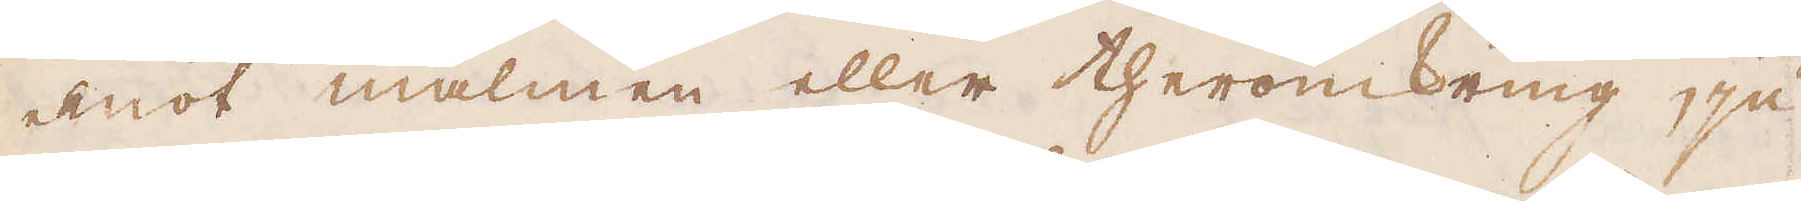emot malmen eller theromkring, ju
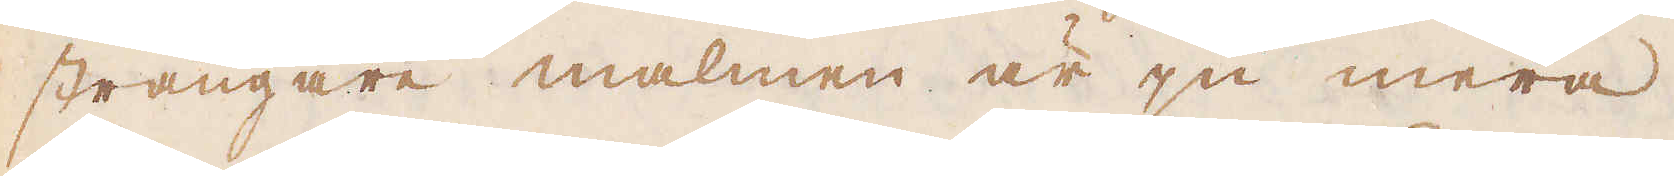strängare malmen är ju mera.
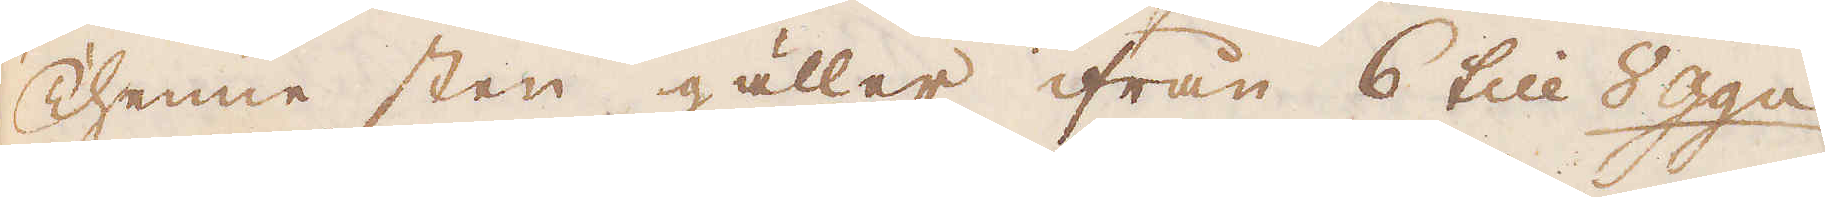Thenne sten gäller ifrån 6 till 8 gg:n
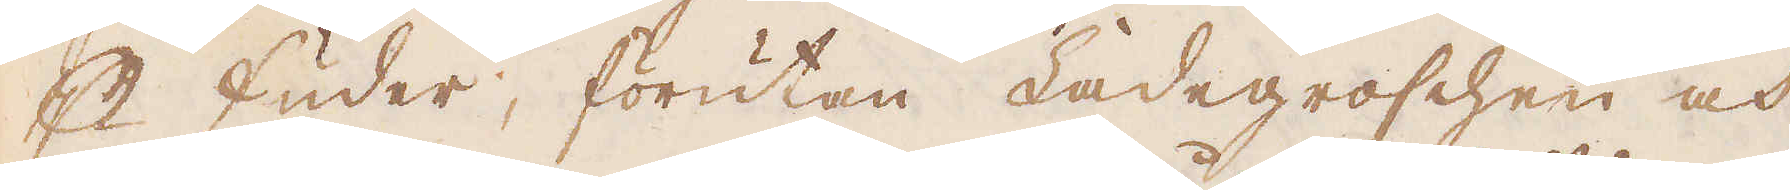p Fuder, förutan Ladegroschen och
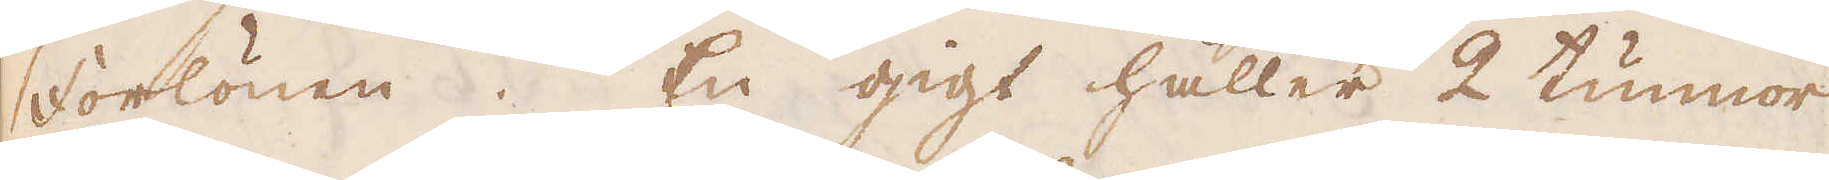Forlönen. En gigt håller 2 tunnor
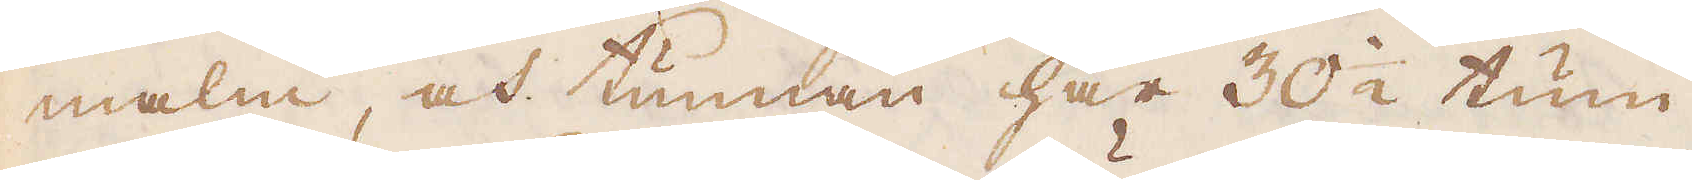malm, och tunnan har 30 1/2 tum,
